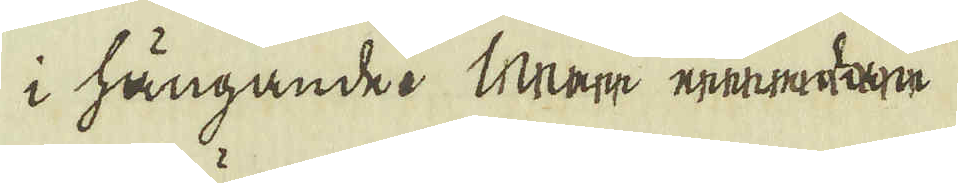i hängande. Meer eedan
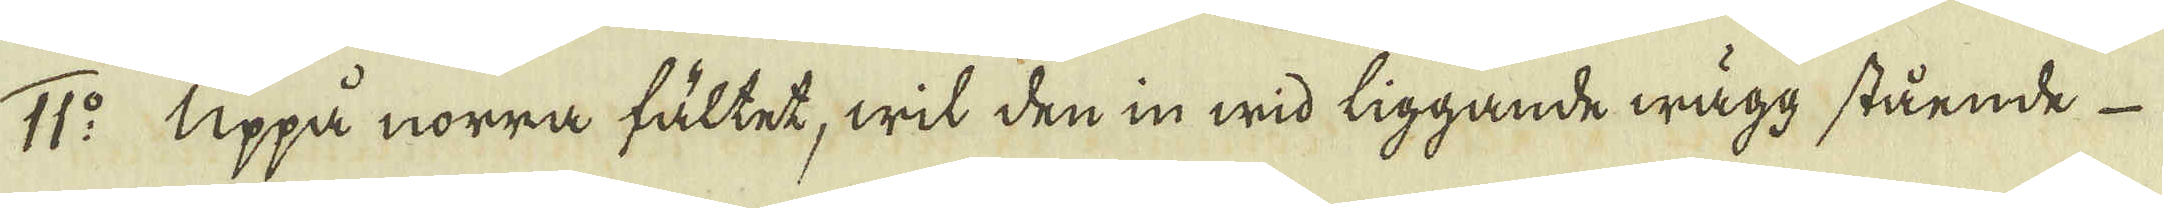11:o Uppå norra fältet, wit den in wid liggande wägg stående
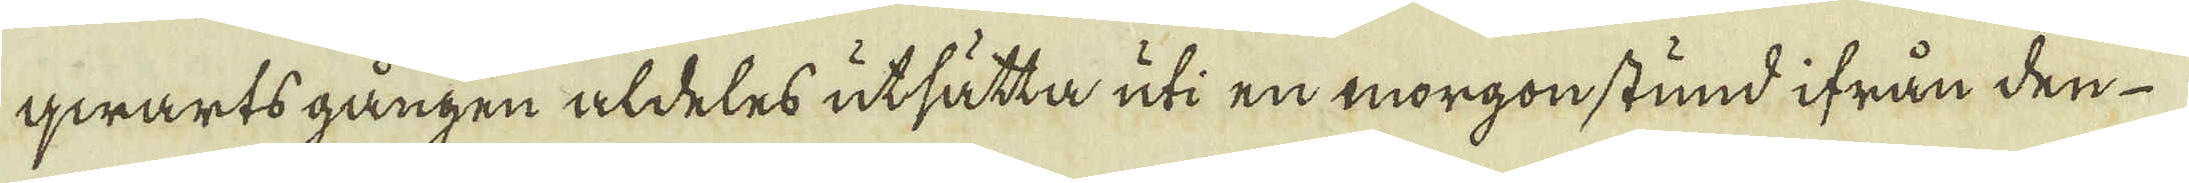qwarts gången aldeles utsätta uti en morgonstund ifrån den
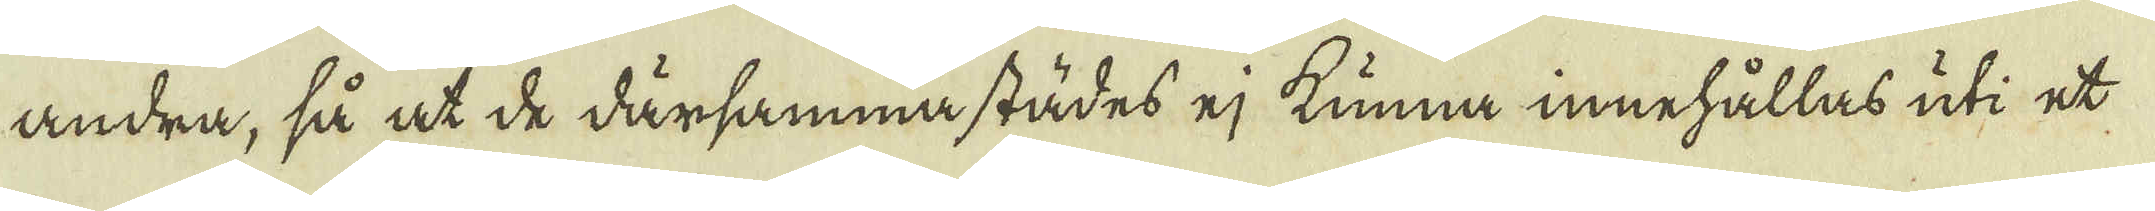andra, så at de därsammastädes ej kunna innehållas uti et
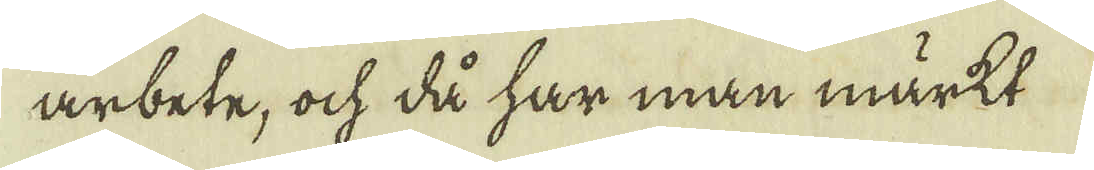arbete, ock då har man märkt
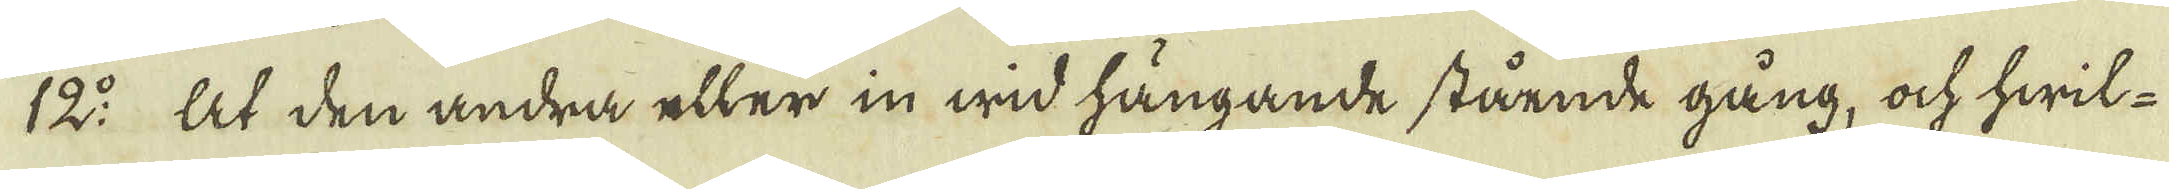12:o At den andra eller in wid hängande stående gång, ock hwil-
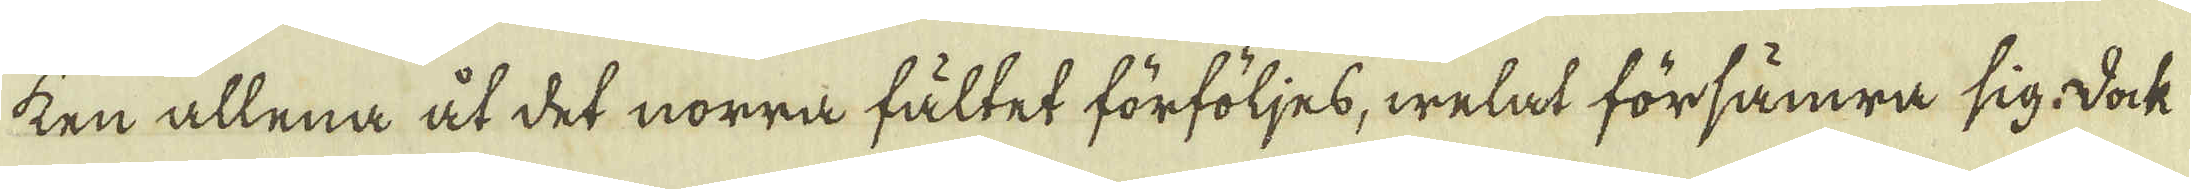ken allena åt det norra fältet förföljes, welat försämra sig. Dock
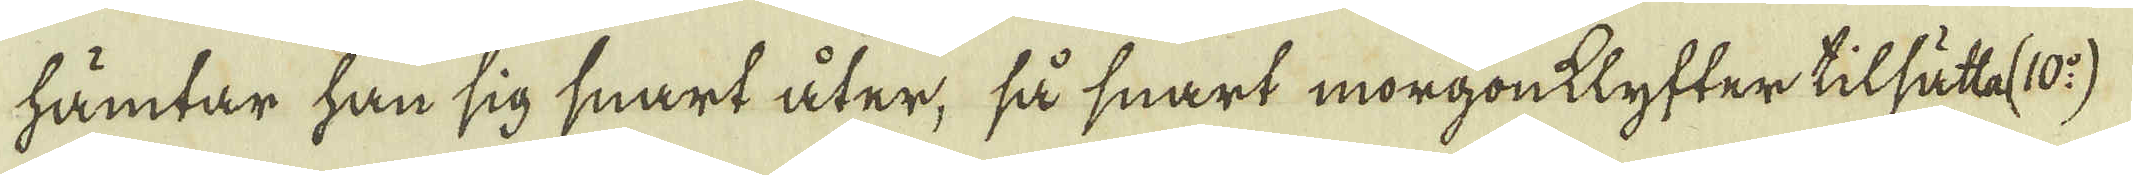hämtar han sig snart åter, så snart morgonklyfter tilsättaf (10:o)
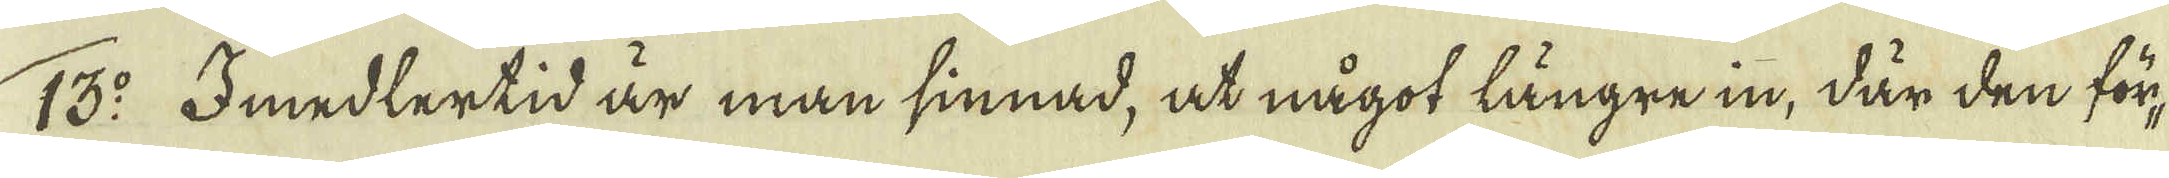13:o Imedlertid är man sinnad, at något längre in, där den för-
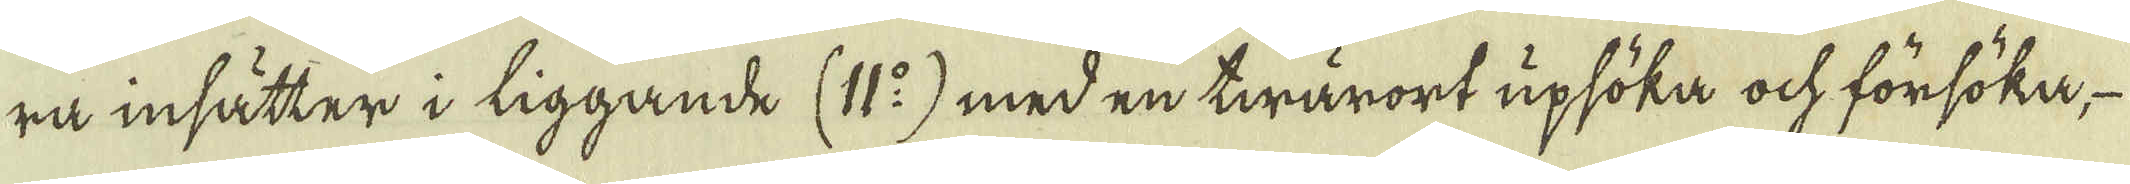ra insätter i liggande (11:o) med en twärort upsöka ock försöka,
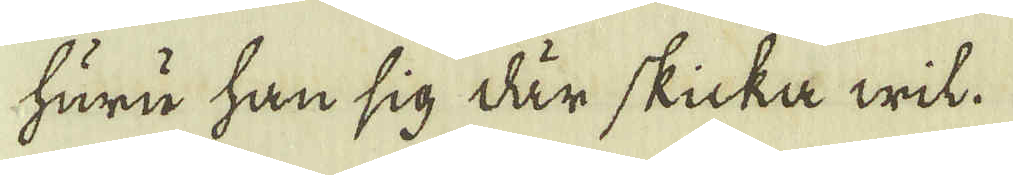huru han sig där skicka wil.
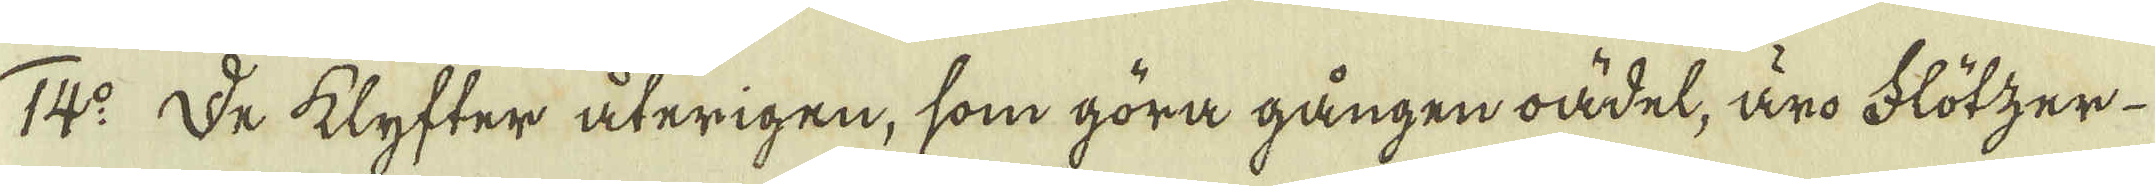14:o De klyfter återigen, som göra gången oädel, äro Flötzer
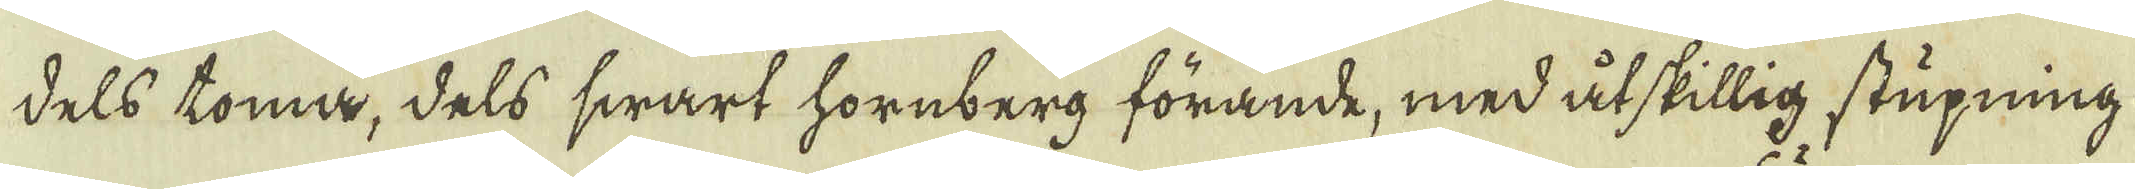dels tomma, dels swart hornberg förande, med åtskillig stupning
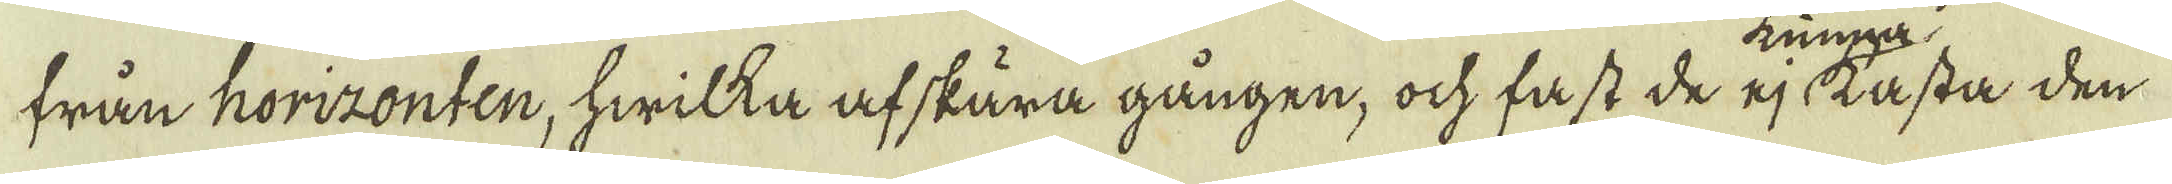från horizonten, hwilka af skära gången, ock fast de ej tasta den
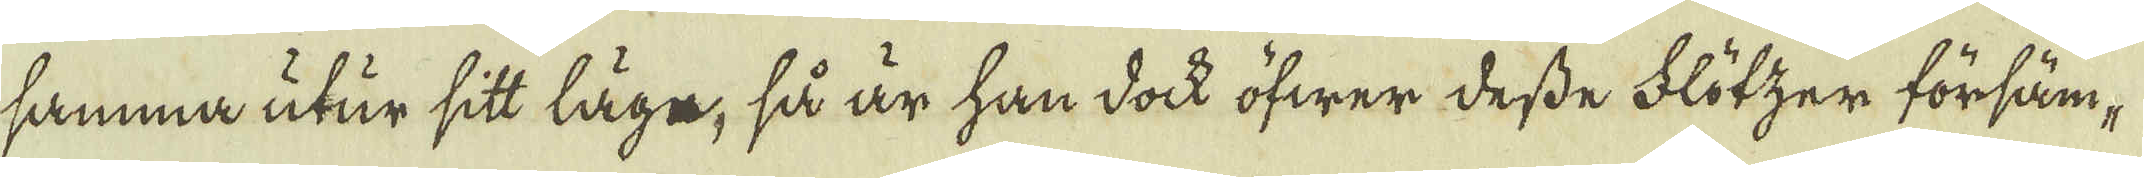samma utur sitt läge, så är han dock öfwer desse Flötzer försäm-
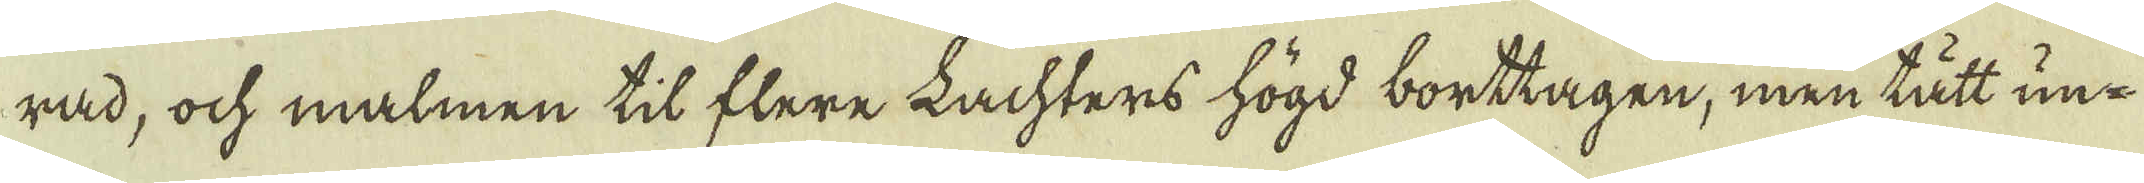rad, ock malmen til flere Lachters högd borttagen, men tätt un-
